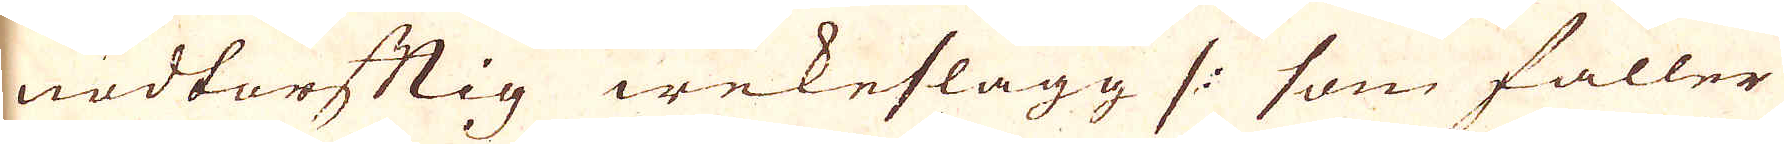nödtorftig wekeslagg /: som faller
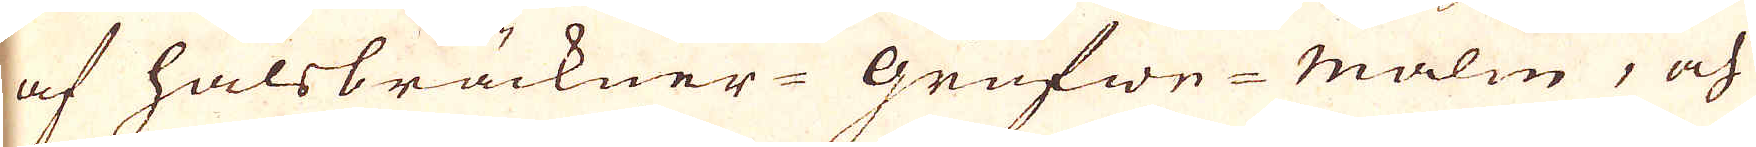af halsbräckner-Grufwe-Malm, och
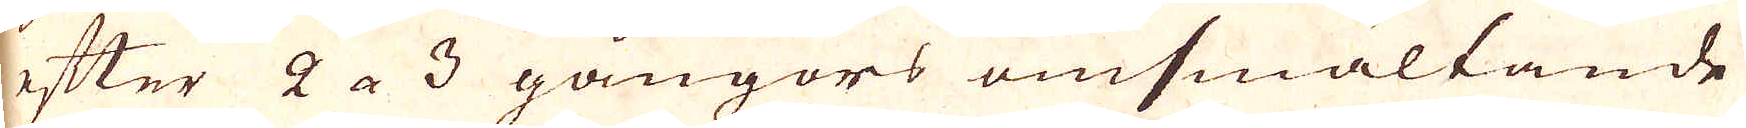efter 2 a 3 gångors omsmältande
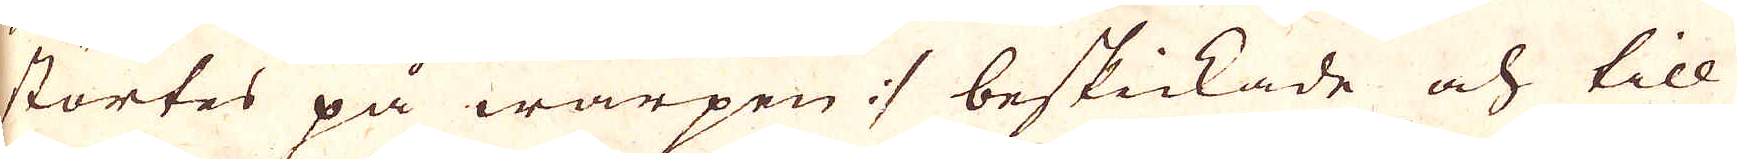störtes på warpen :/ beskickade och till
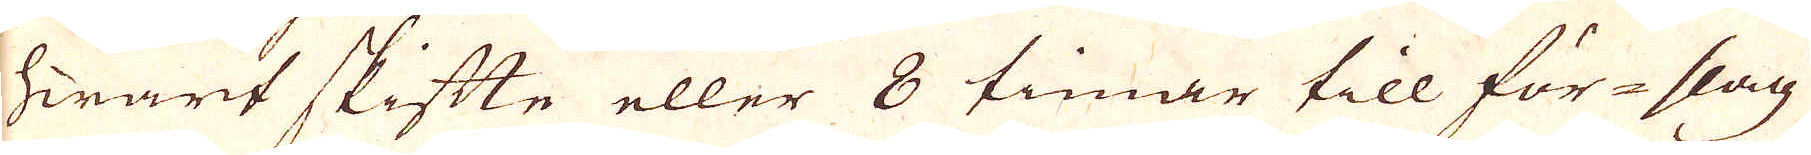hwart skifte eller 8 timar till för-slag
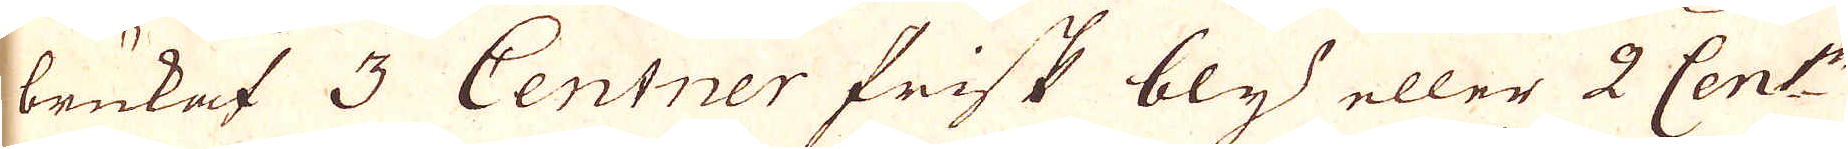brukat 3 Centner frisk bly eller 2 Cent:r
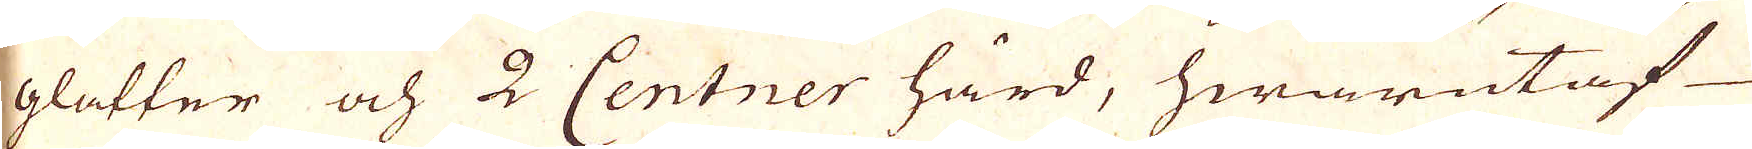glatter och 2 Centner hård, hwarutaf
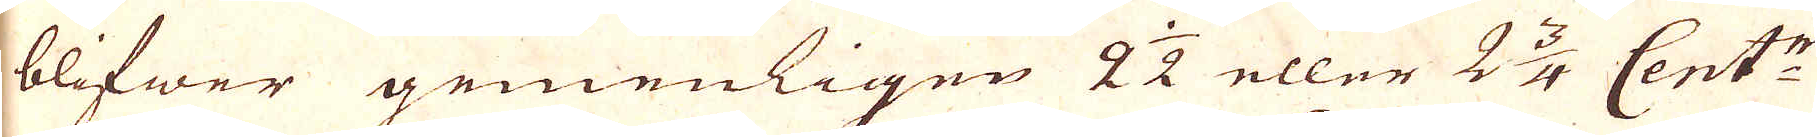blifwer gemenligen 2 1/2 eller 2 3/4 Cent:r
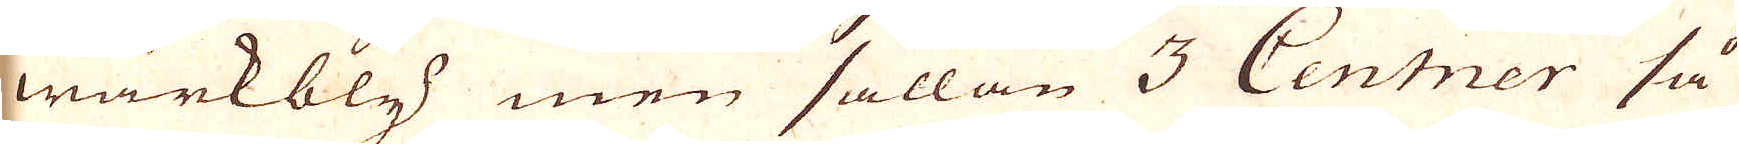wärkbly men sällan 3 Centner så
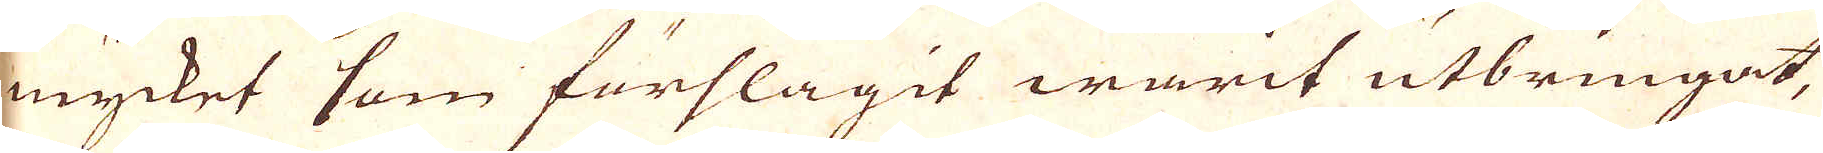mycket som förslagit warit utbringat,
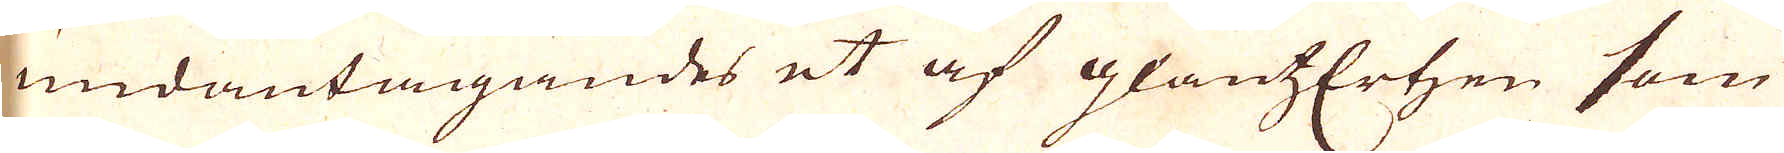undantagandes et af glantzErten som
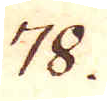78.
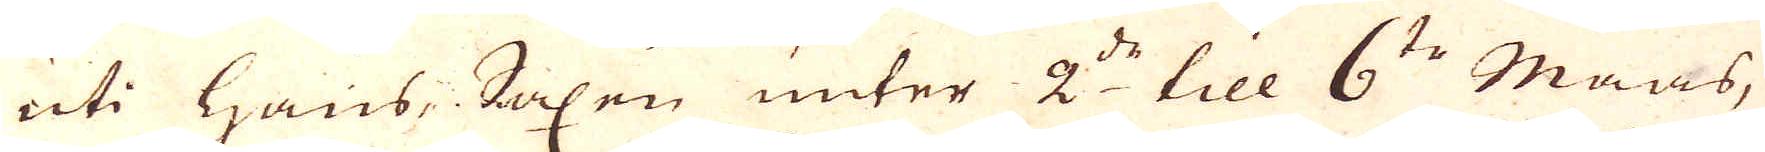uti Haus-Saxen unter 2:de till 6:te Maas-
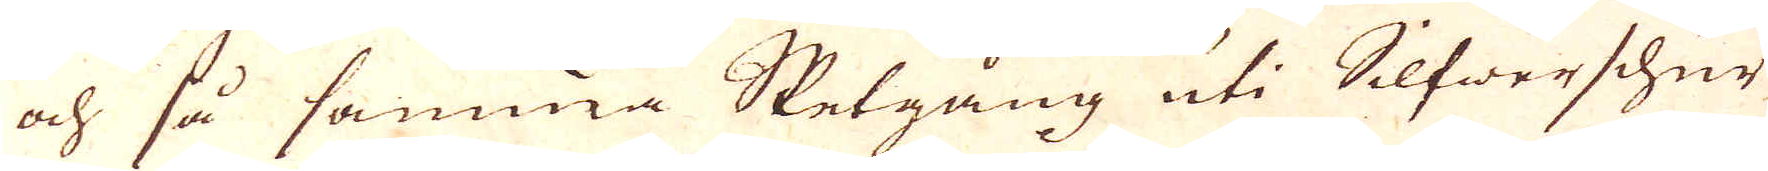och så samma Sketgång uti Silfwerschur
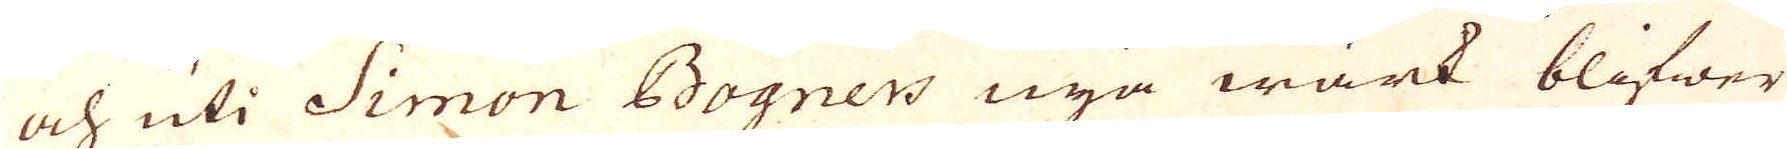och uti Simon Bognes nya wärk blifwer
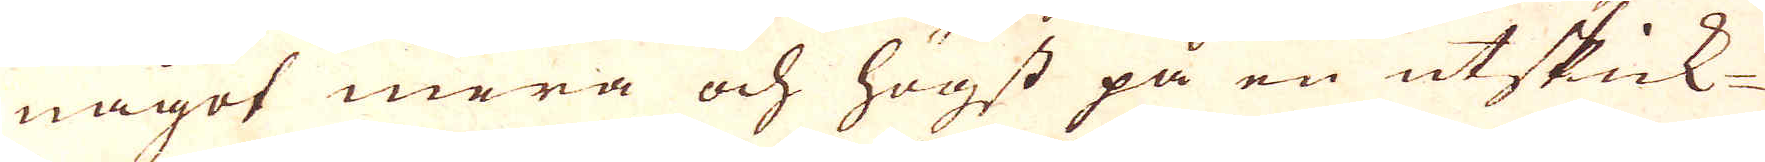något mera och högst på en utskick-
